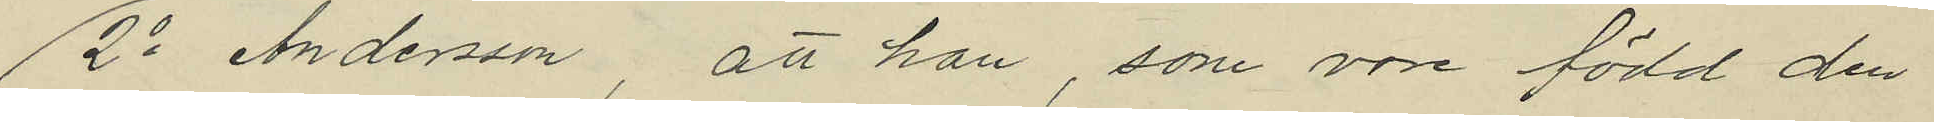2o Anderson, att han, som vore född den
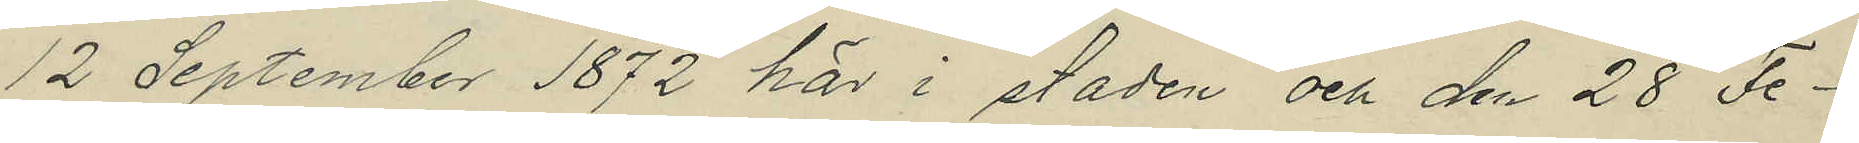12 September 1872 här i staden och den 28 Fe¬
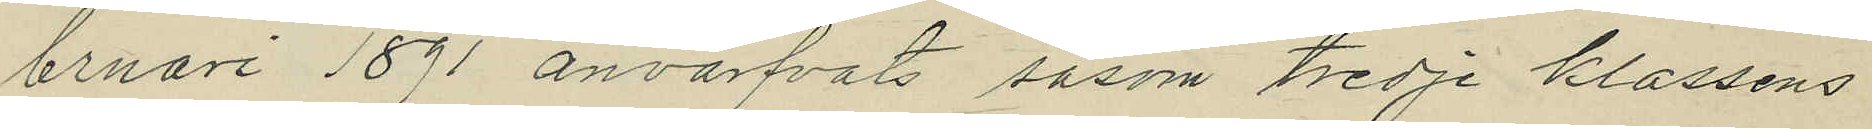bruari 1891 anvärfvats såsom tredje klassens
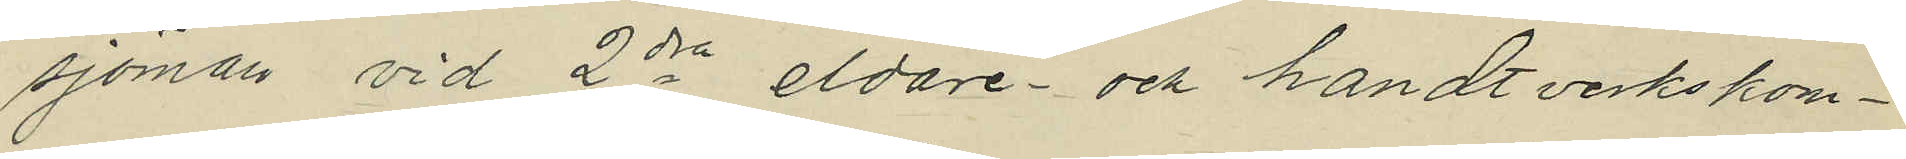sjöman vid 2dra eldare- och handtverkskom¬
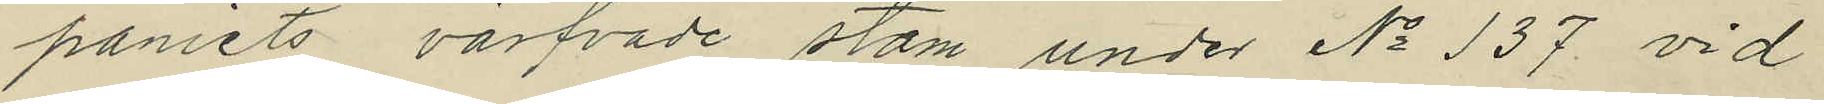paniets värfvade stam under No 137 vid
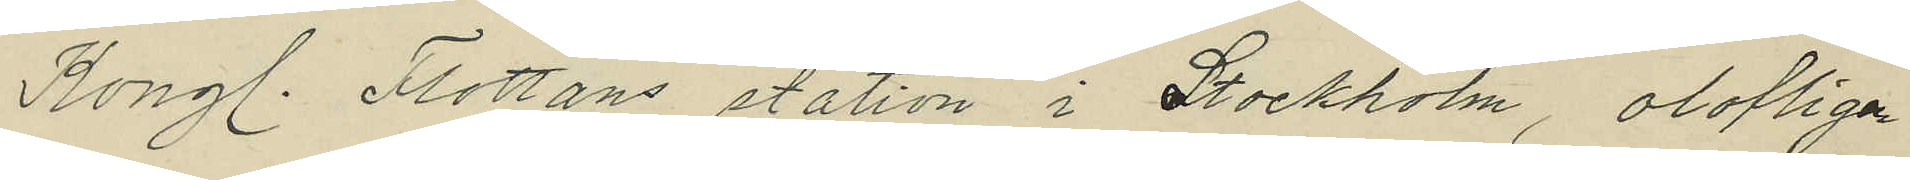Kongl. Flottans station i Stockholm, olofligen
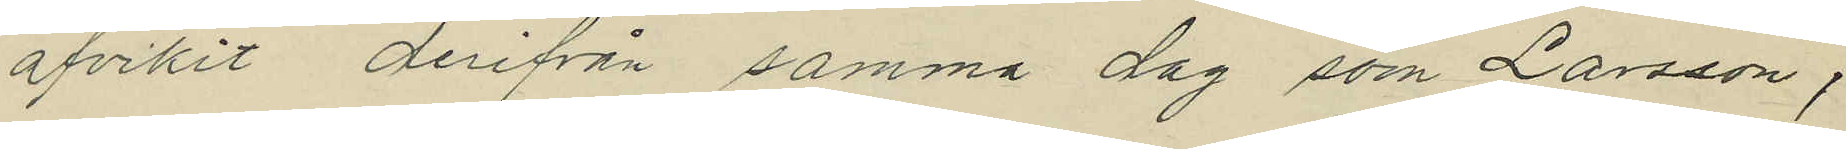afvikit derifrån samma dag som Larsson,
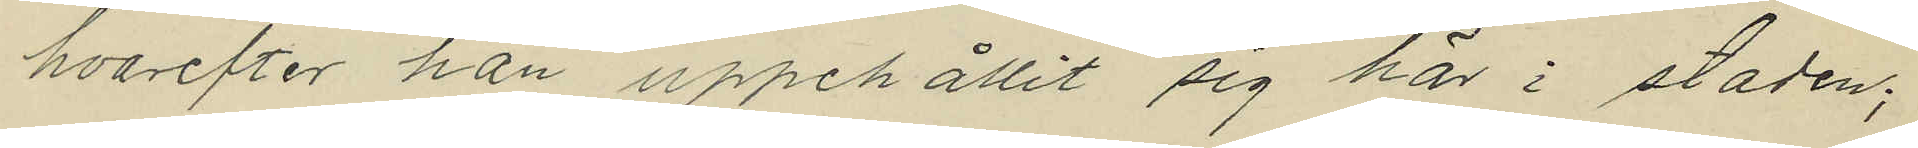hvarefter han uppehållit sig här i staden;
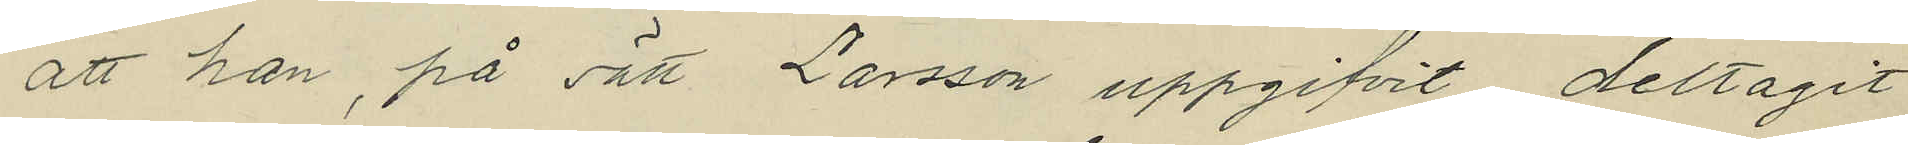att han, på sätt Larsson uppgifvit, deltagit
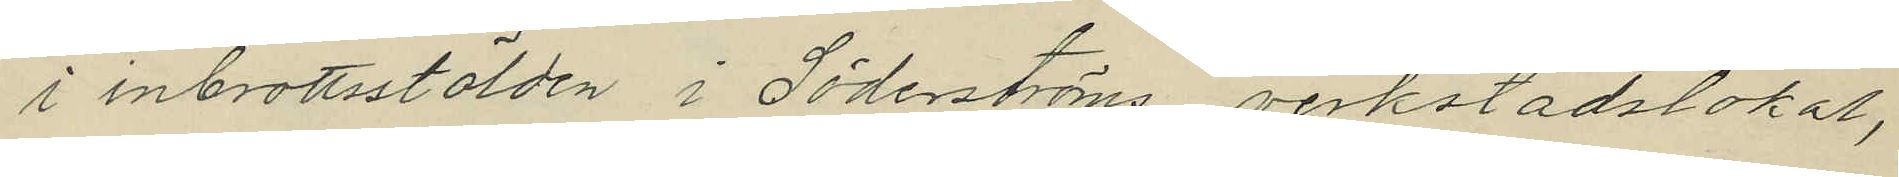i inbrottsstölden i Söderströms verkstadslokal,
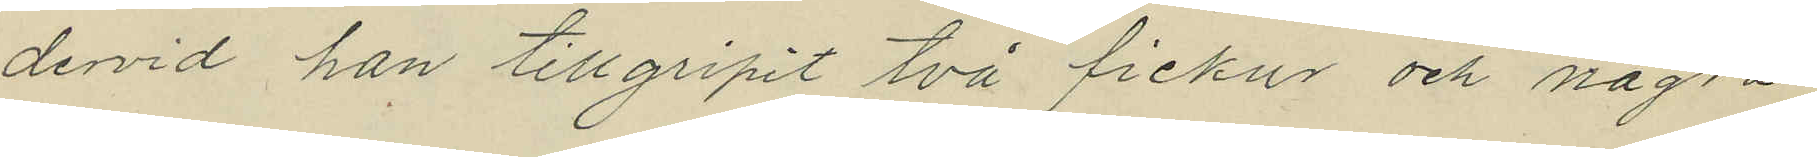dervid han tillgripit två fickur och några
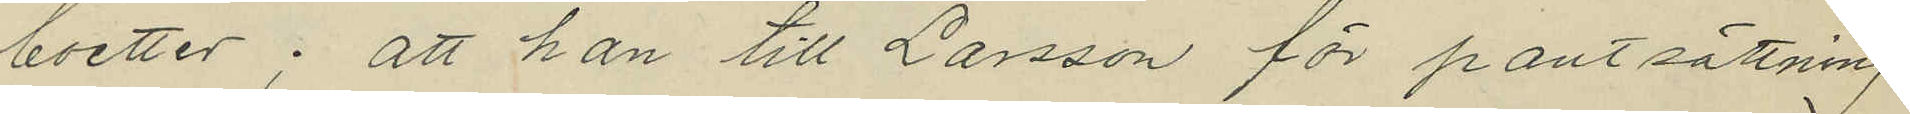boetter; att han till Larsson för pantsättning
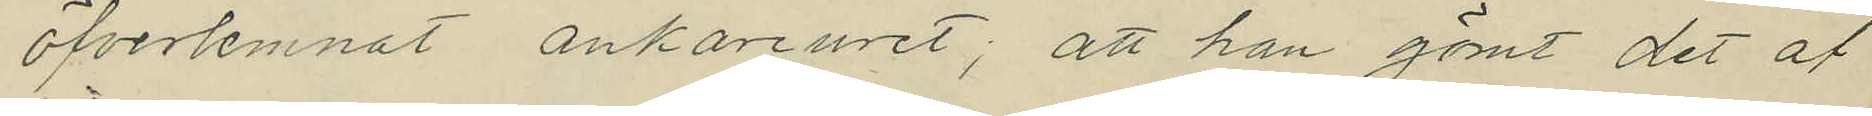öfverlemnat ankareuret; att han gömt det af
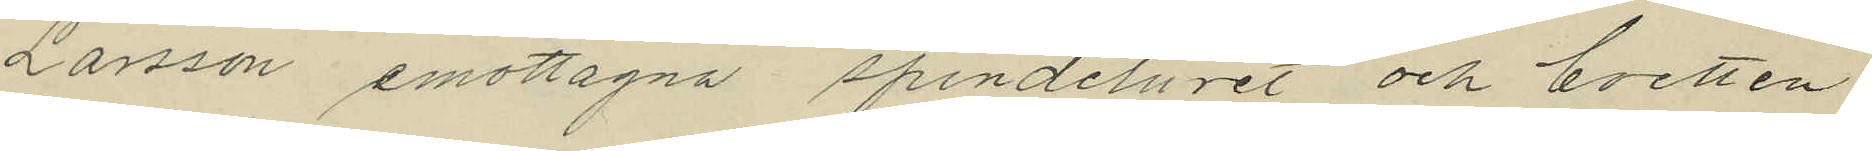Larsson emottagna spindeluret och boetten
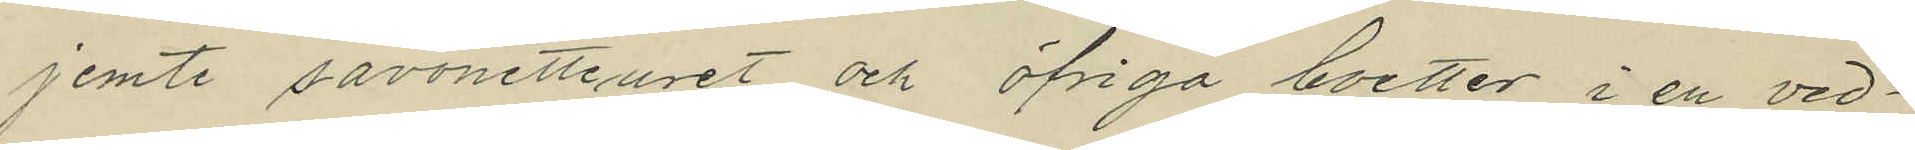jemte savonetteuret och öfriga boetter i en ved¬
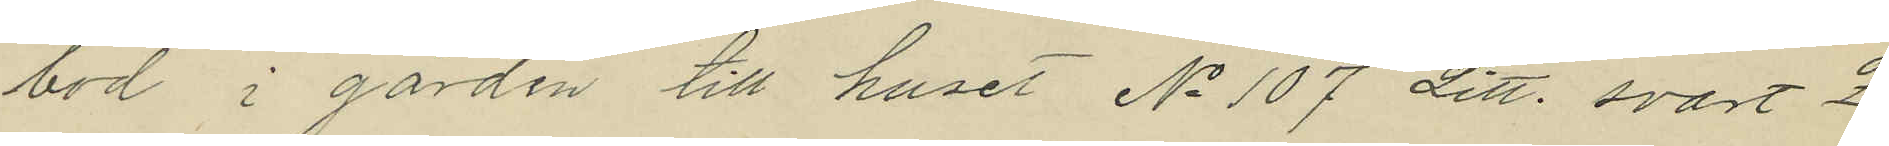bod i gården till huset No 107 Litt. svart Z
